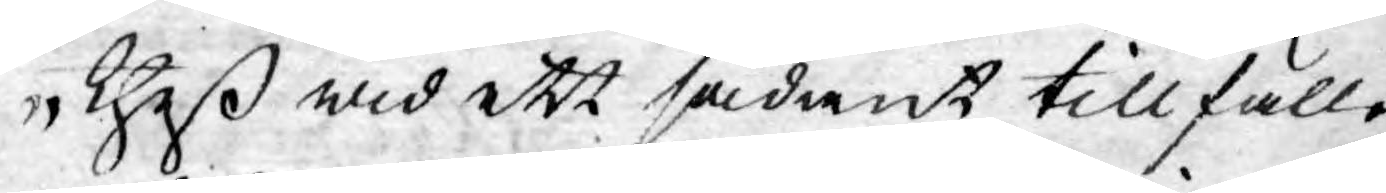theß wid ett sådant tillfälle
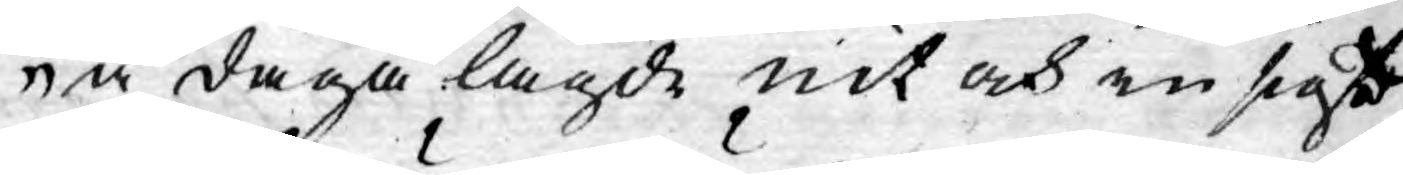å daga lagde nit och in sigt
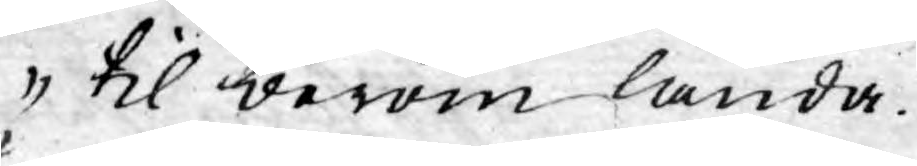til beröm lända.
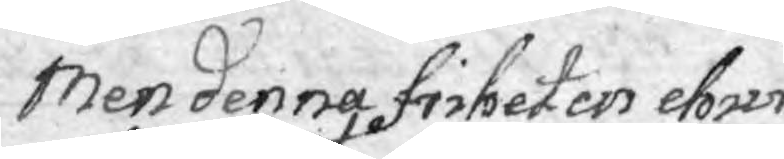Men denna friheten ehuru
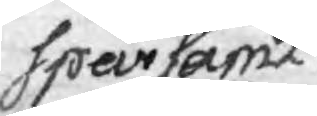sparsamt 
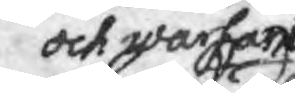och warsamt
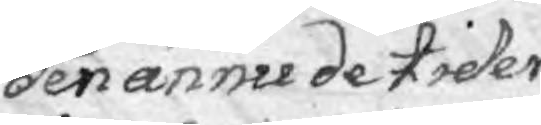den ännu de tider
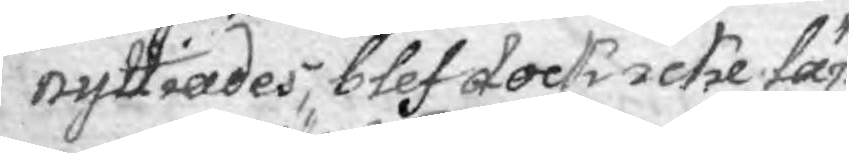nyttiades, blef dock icke län¬
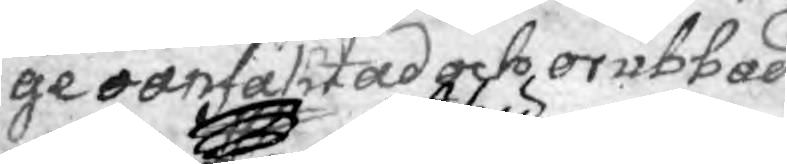ge oanfäktad och orubbad.
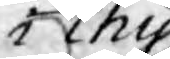i thy
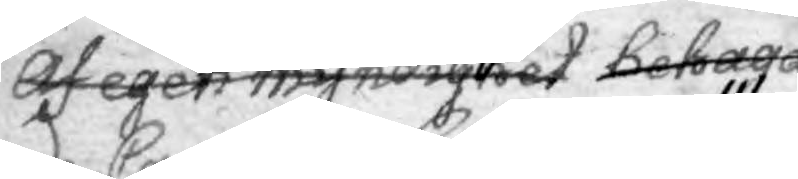Af egen myndighet behaga¬
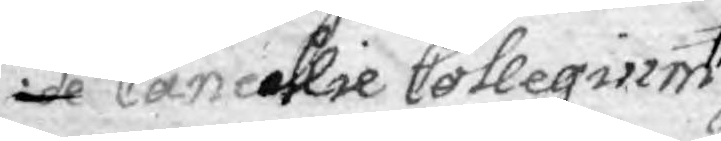de Cancellie Collegium
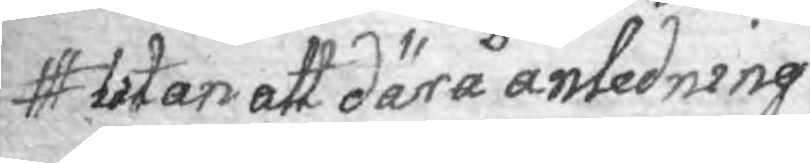utan att därå anledning
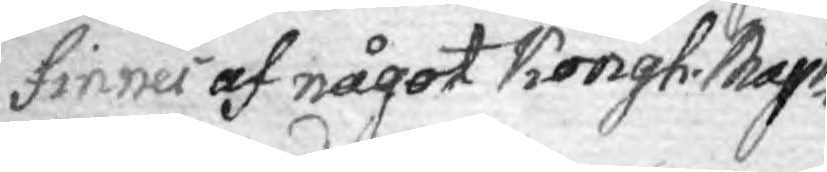finner af något Kongl. Mayts
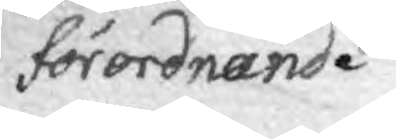förordnande
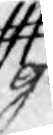ge¬
